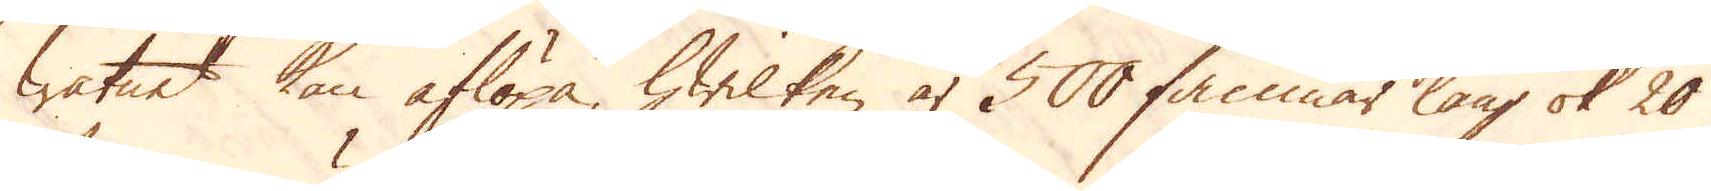watnet kan aflöpa, hwilken är 500 famnar lång ok 20
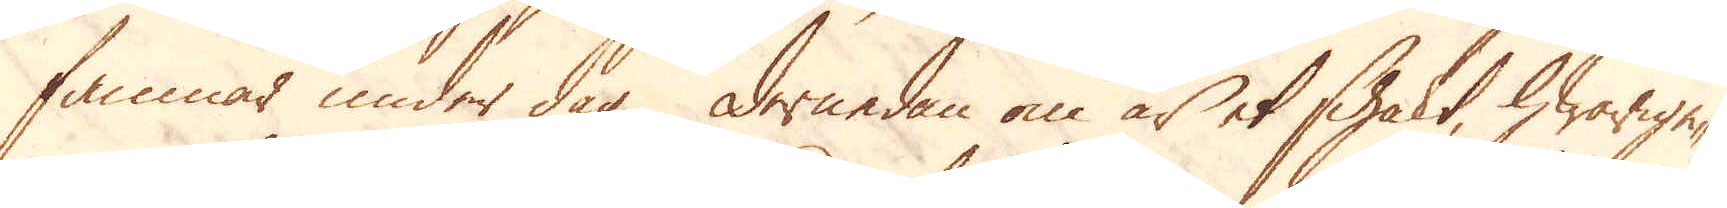famnar under dag. Dernedan om är et schakt, hwarige-
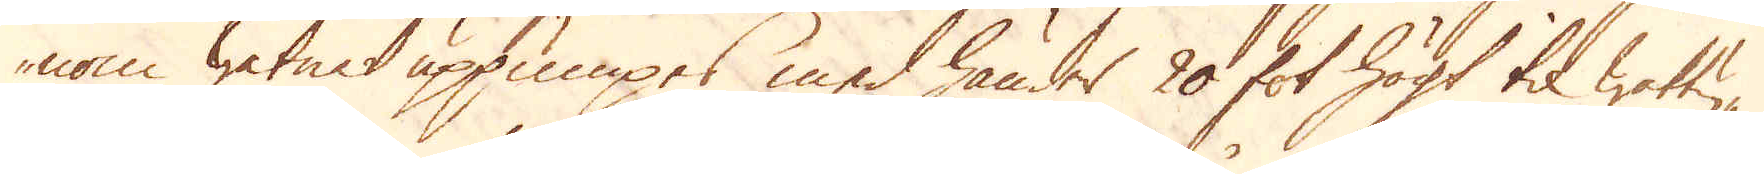nom watnet uppumpes med händer 20 fot högt til wattu-
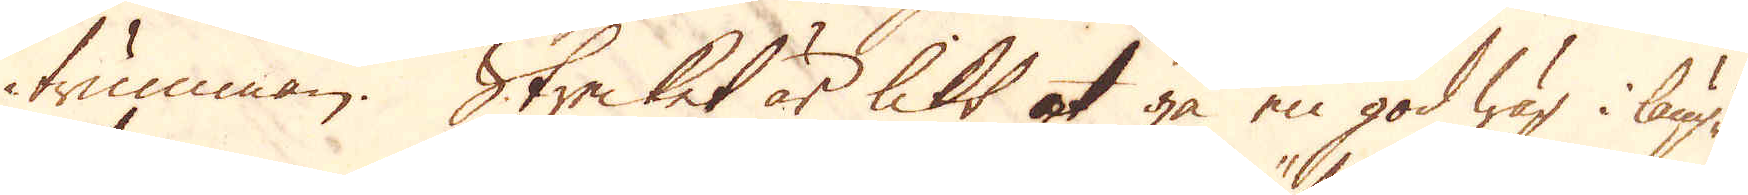trumman. Strecket är likt ok gå en god wäg i läng-
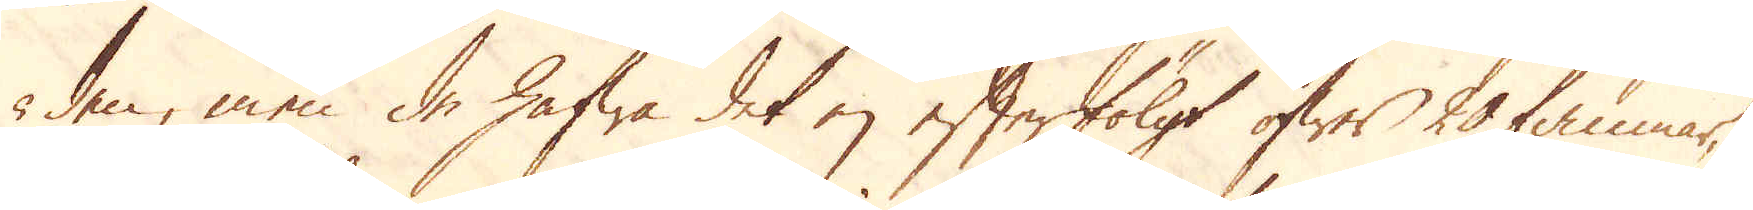den, men de hafwa det ej efterfölgt öfwer 20 famnar,
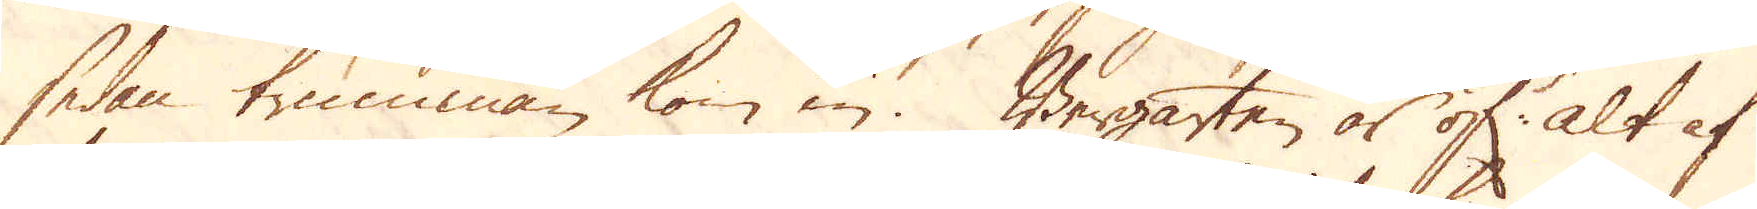sedan trumman kom in. Bergarten är ok alt af
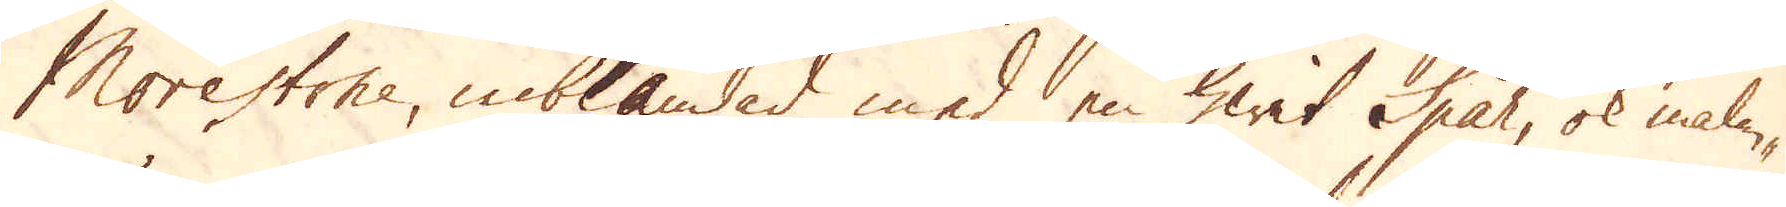Morestone, inblandad med en hwit Spat, ok malm-
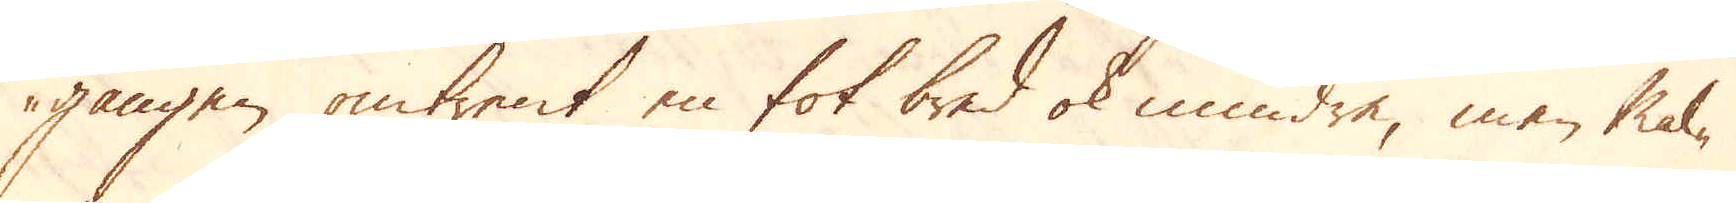gången omtrent en fot bred ok mindre, men mal-
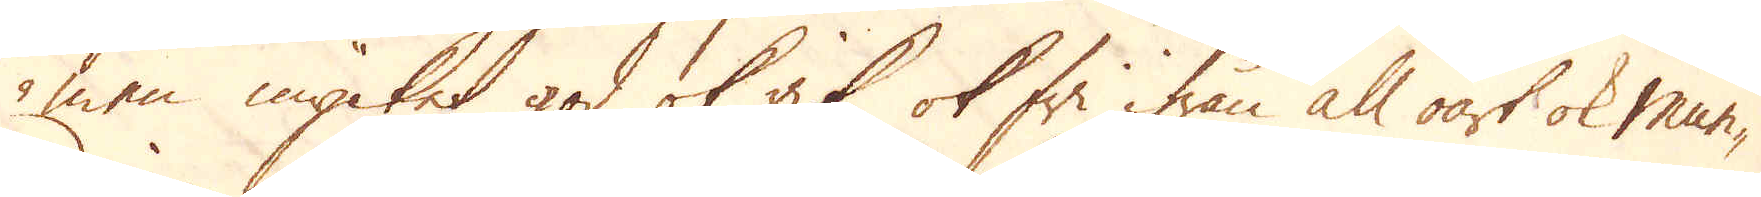men mycket god ok rik, ok fri ifrån all oart ok mun-
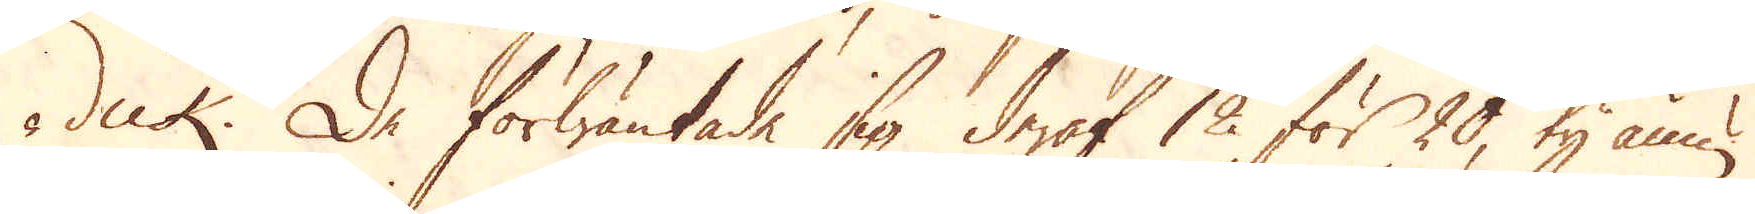dick. De förwäntade sig deraf 12 för 20, ty ännu
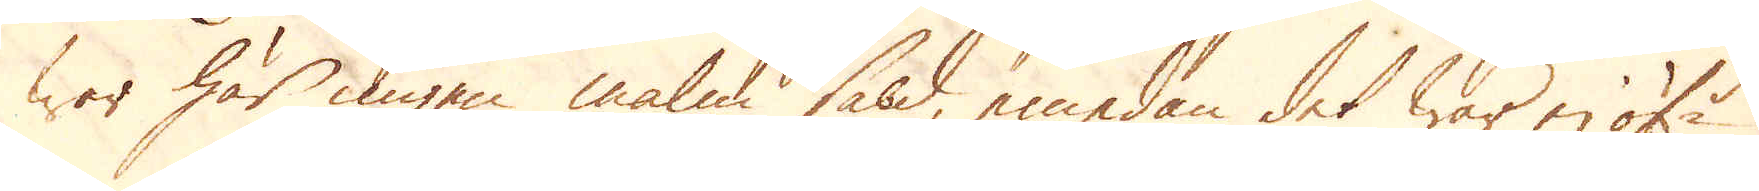war här igen malm såld, emedan det war ej öf:r
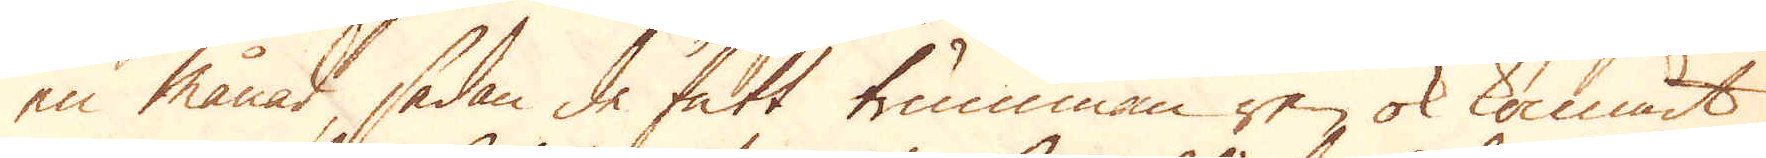en månad sedan de fått trumman ren ok kommit
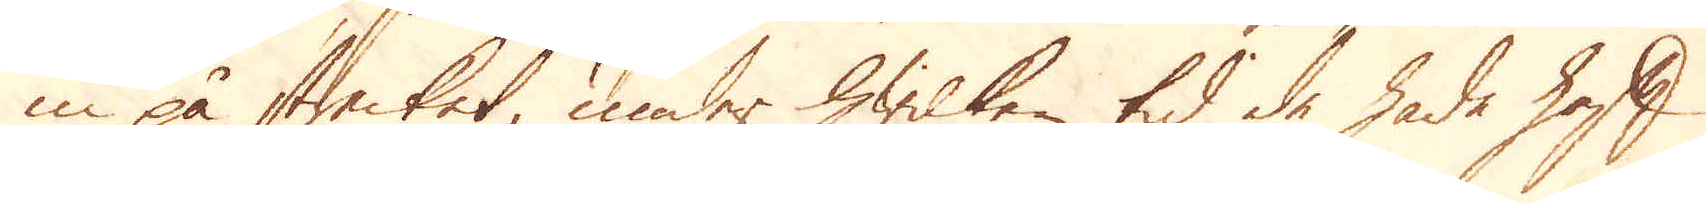in på strecket, under hwilken tid de hade haft
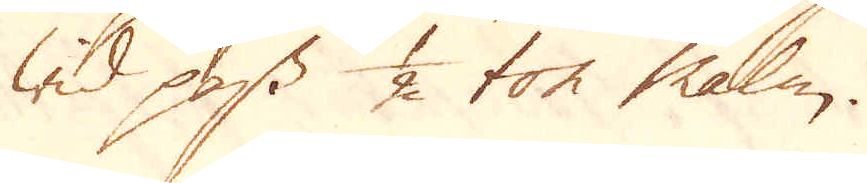wid pass 1/2 ton malm.
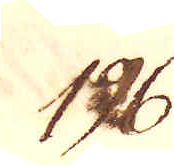196.
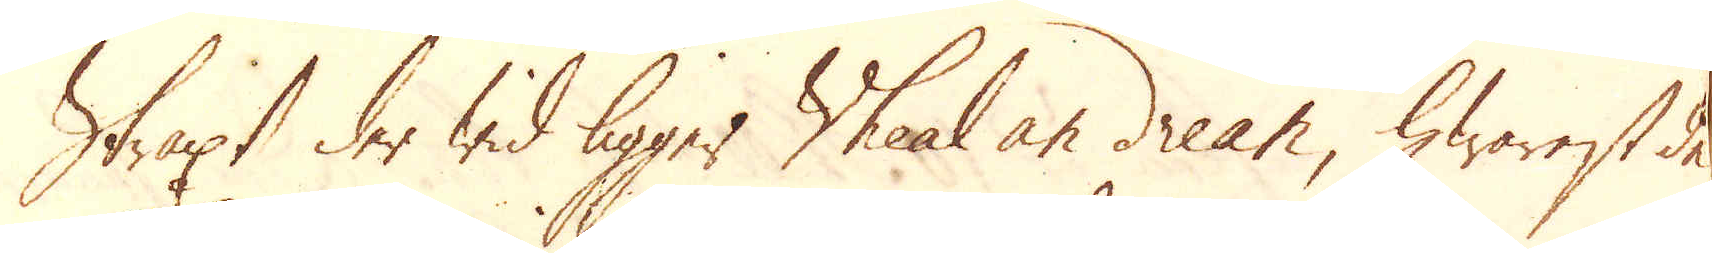Straxt der wid ligger Wheal an drean, hwarest de
